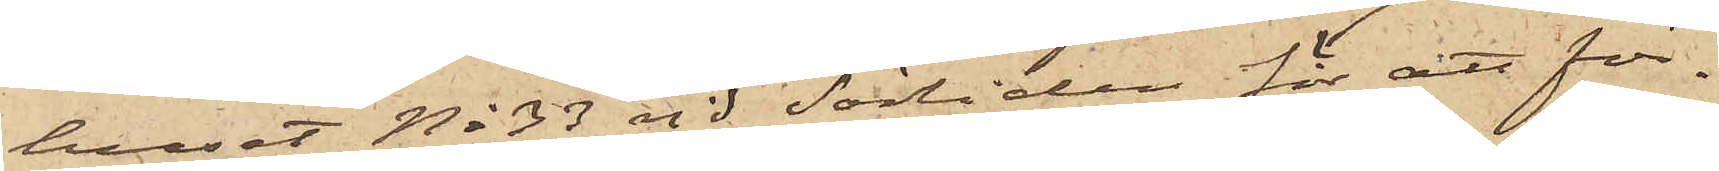huset No 33 vid Sörliden för att för¬
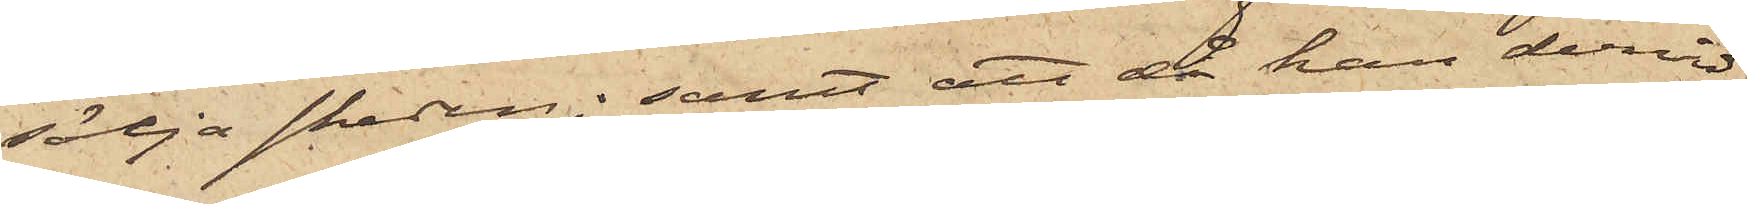sälja skeden; samt att då han dervid
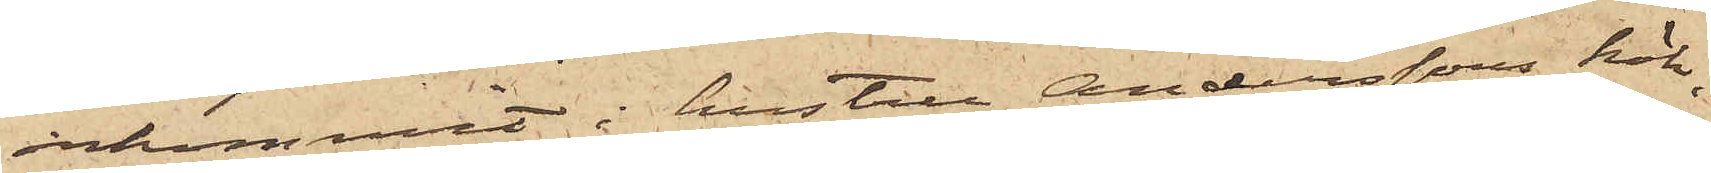inkommit i hustru Anderssons kök,
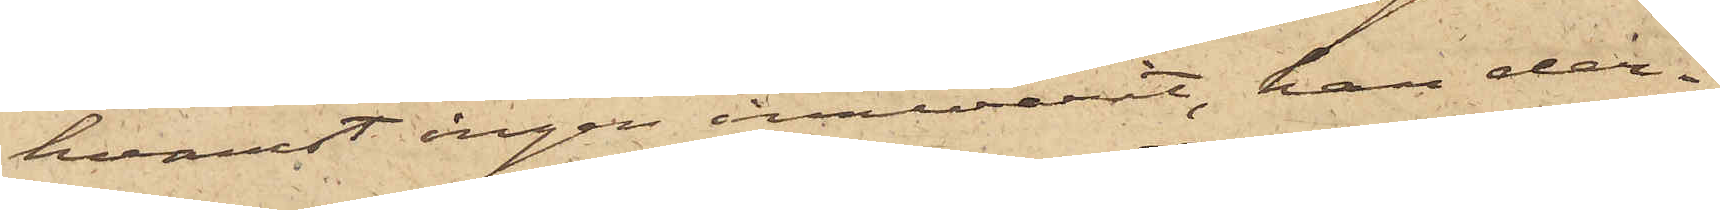hvarest ingen innevarit, han der
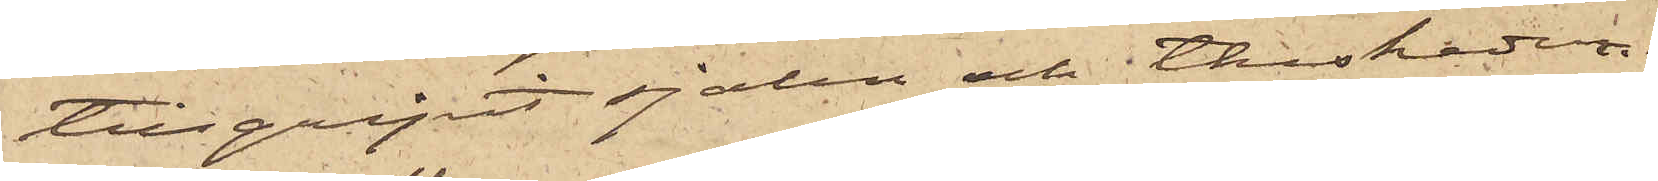tillgripit sjalen och theskeden.
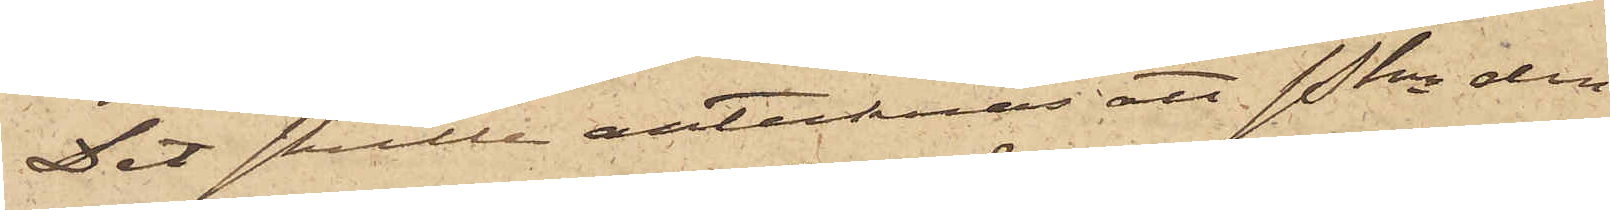Det skulle antecknas att Pkn den
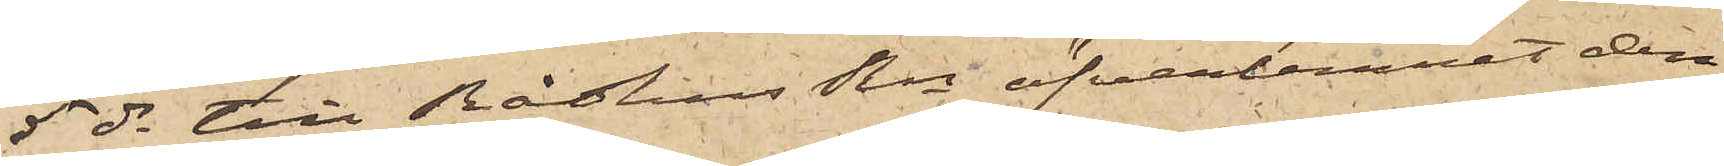5 ds till RådhusRn öfverlemnat den
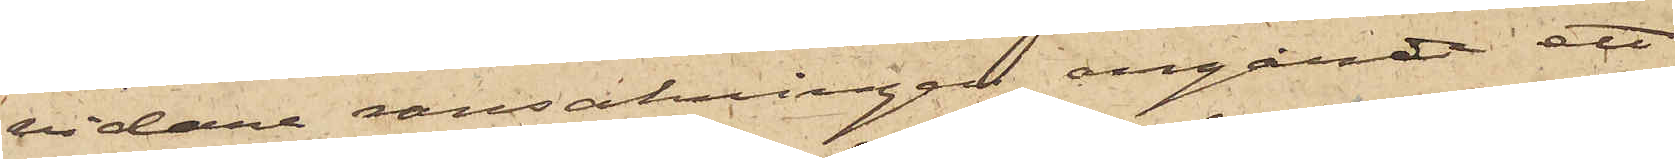vidare ransakningen angånde ett
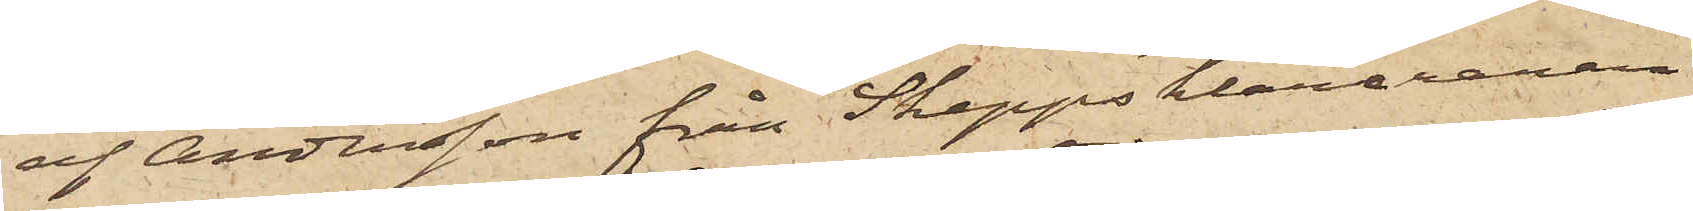af Andersson från Skeppsklareraren
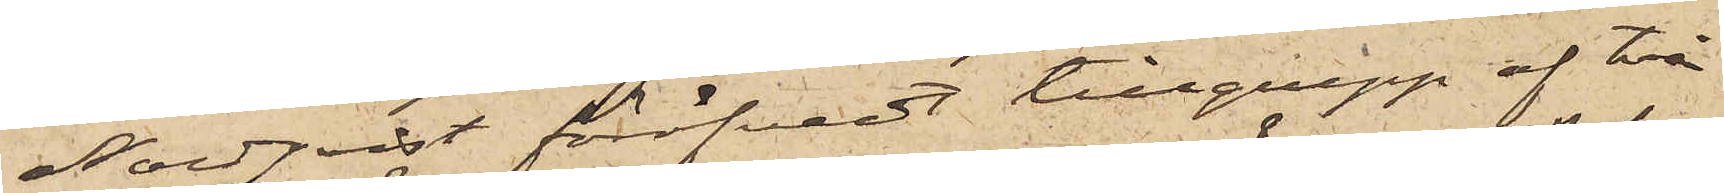Nordqvist föröfvadt tillgrepp af två
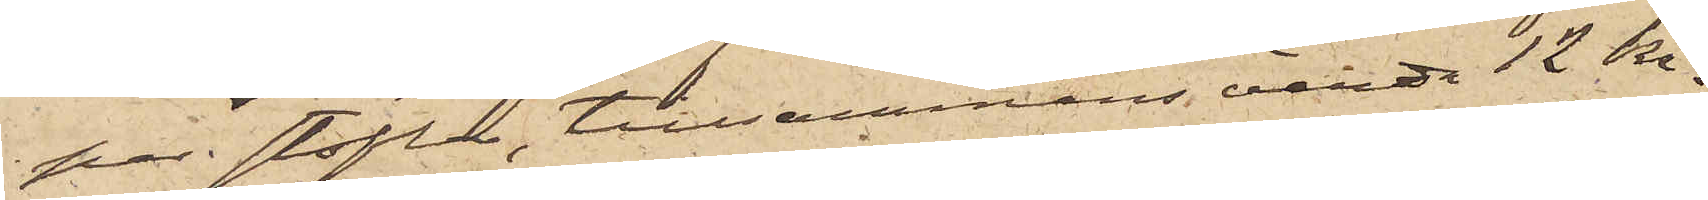par stöflar, tillsammans värda 12 kr.
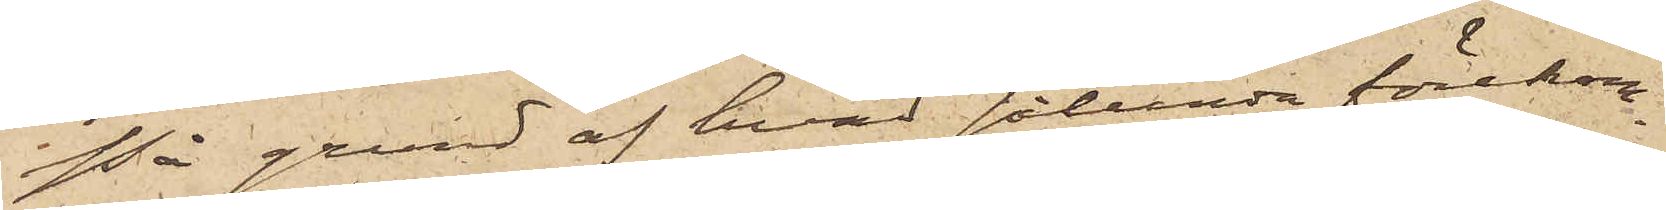På grund af hvad sålunda förekom¬
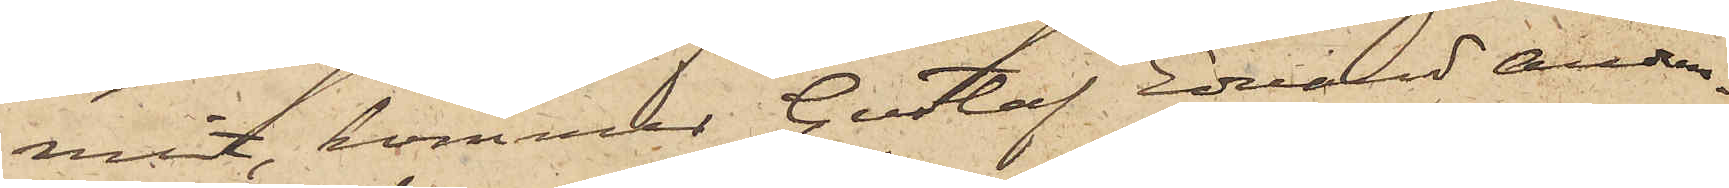mit, kommer Gustaf Edvard Anders¬
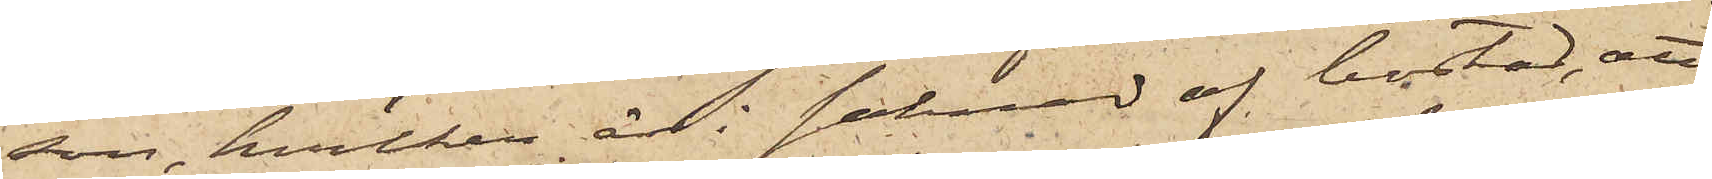son, hvilken är i saknad af bostad, att
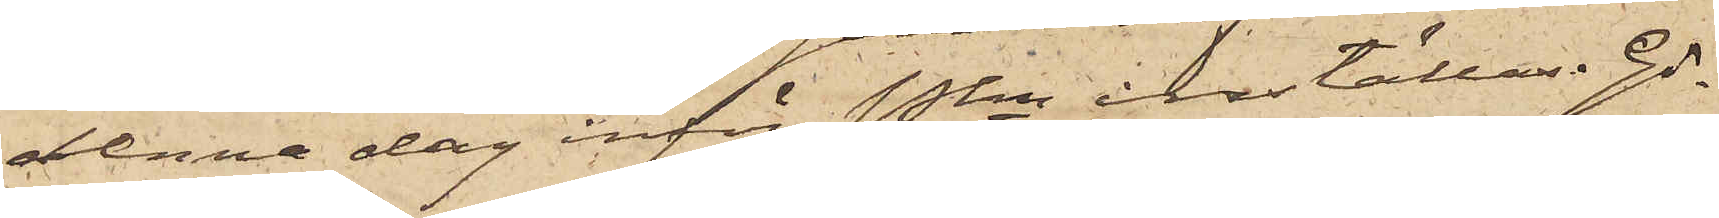denna dag inför Pkn inställas. Gö¬
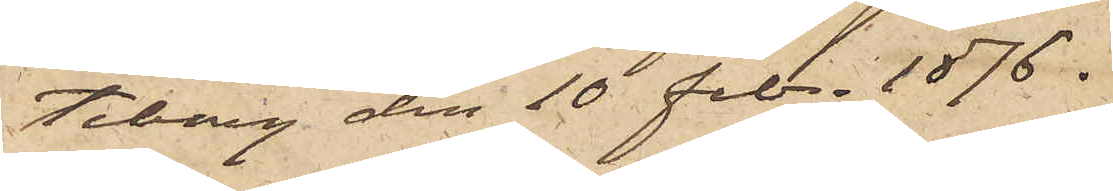teborg den 10 Febr. 1876.
